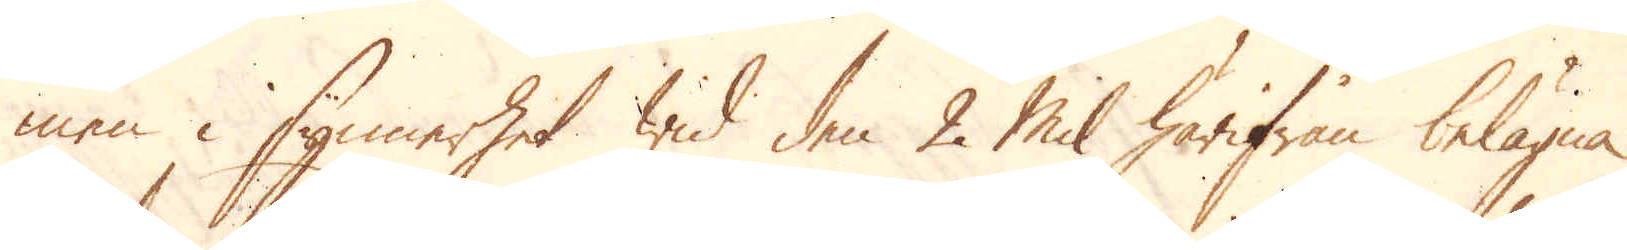men i synnerhet wid den 2 Mil härifrån belägna
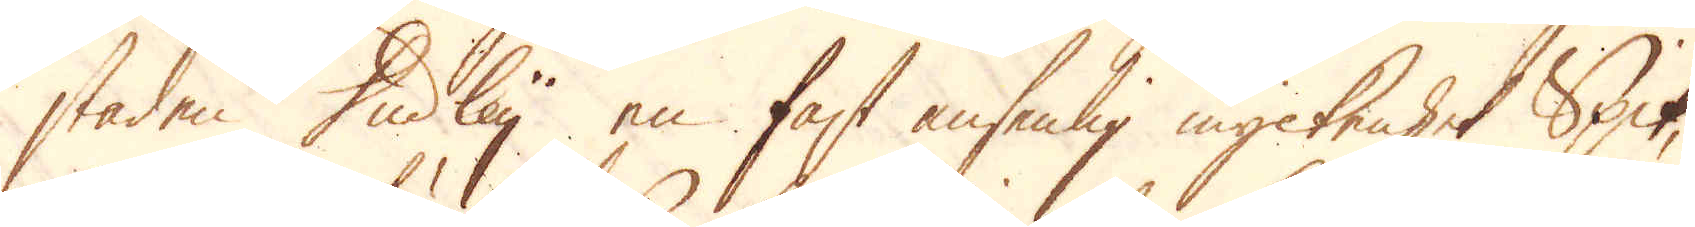staden Dudley en fast ansenlig myckenhet Spik,
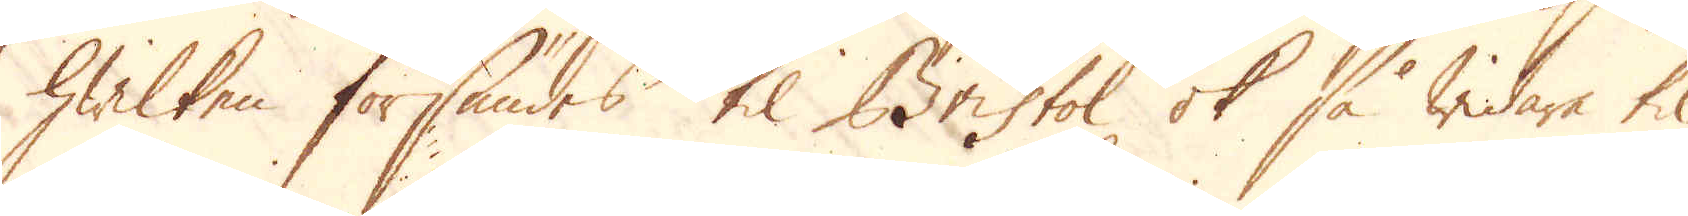hwilken försändes til Bristol ok så widare til
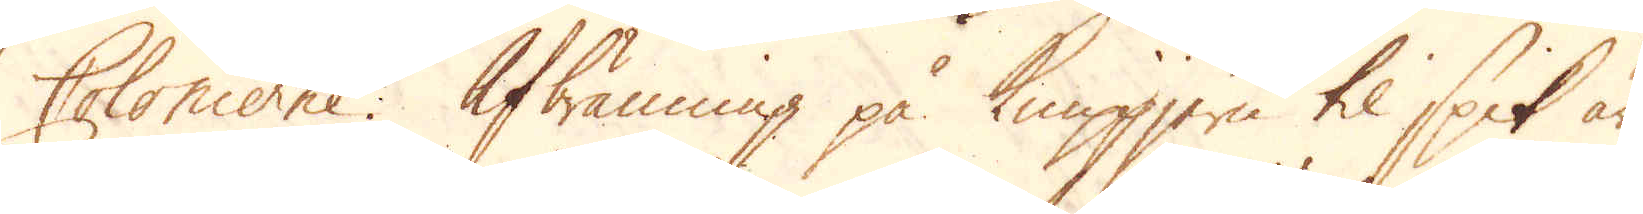Colonierne. Afbränning på Knippjern til spik är
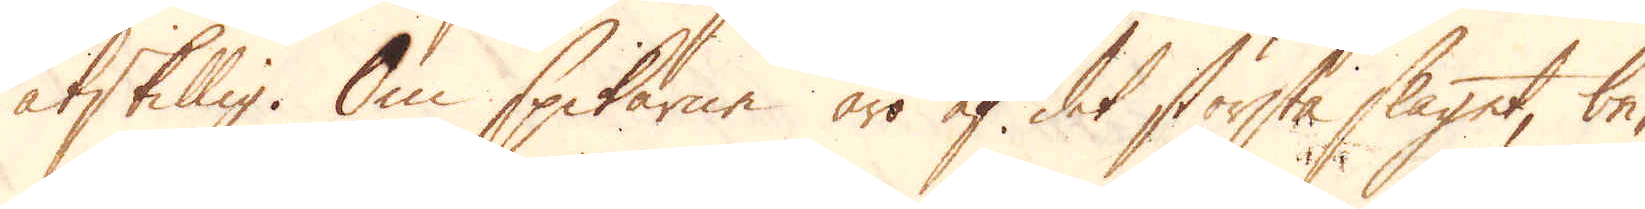åtskillig. Om spikarne äro af det största slaget, be-
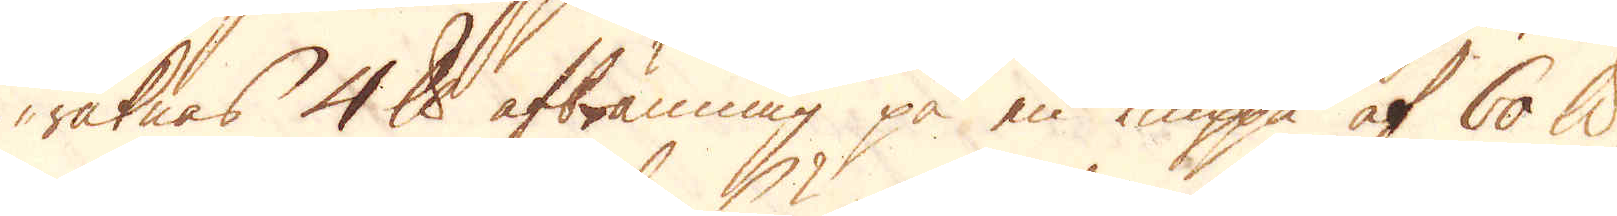räknas 4 skålpund afbränning på en Knippa af 60 skålpund,
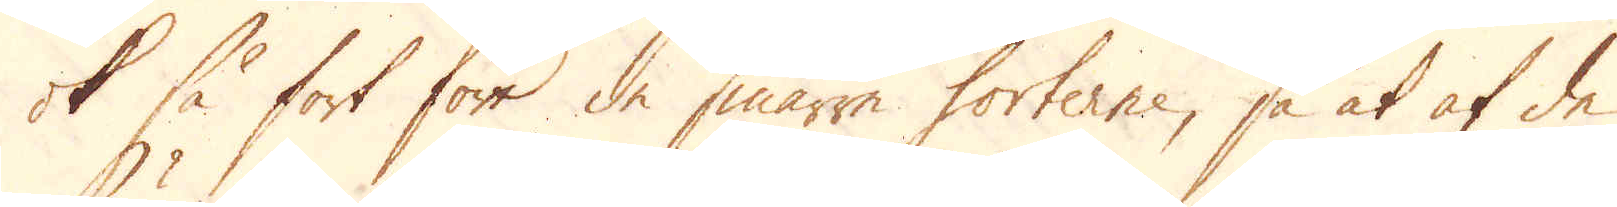ok så fort för de smärre sorterne, så at af de
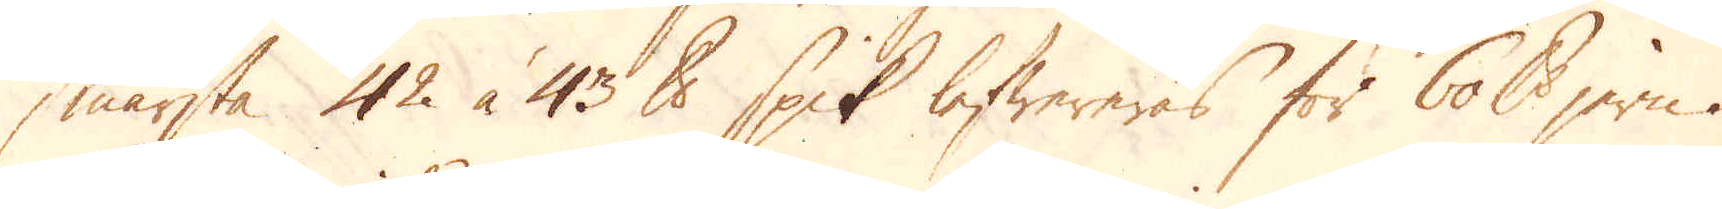smärsta 42 à 43 skålpund spik lefwereras för 60 skålpund jern.
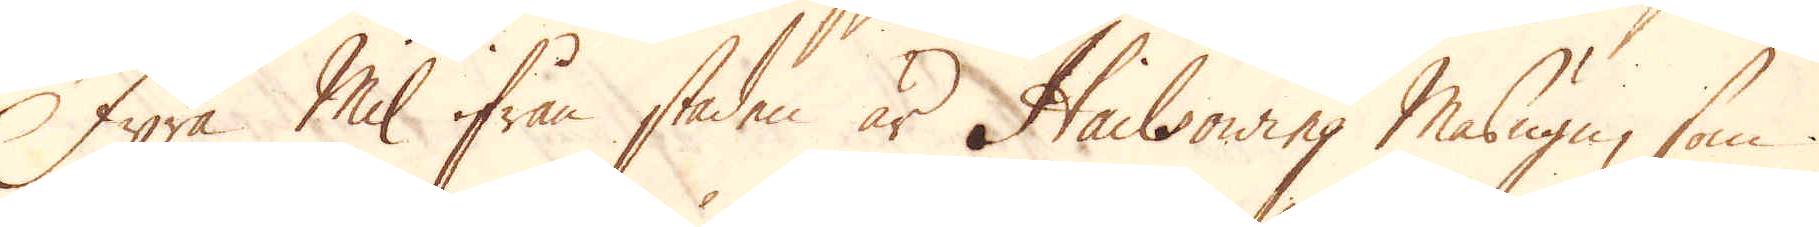Fyra Mil ifrån staden är Hailsowing Masugn, som
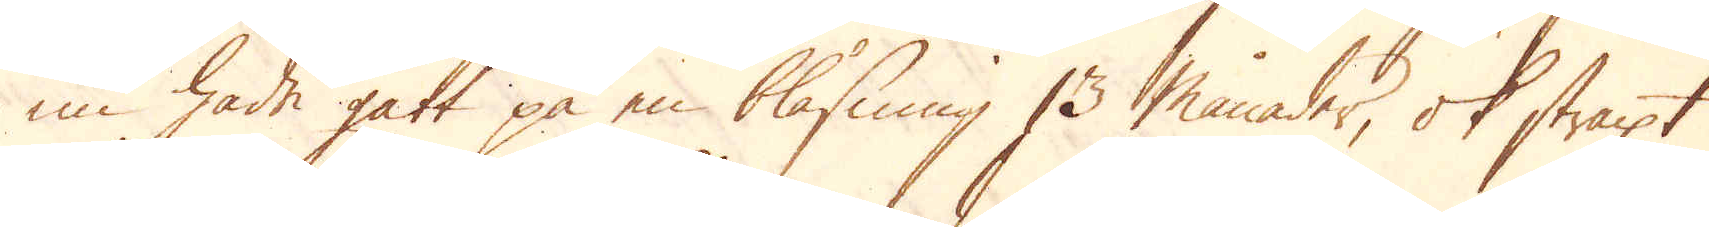nu hade gått på en blåsning 13 månader, ok straxt
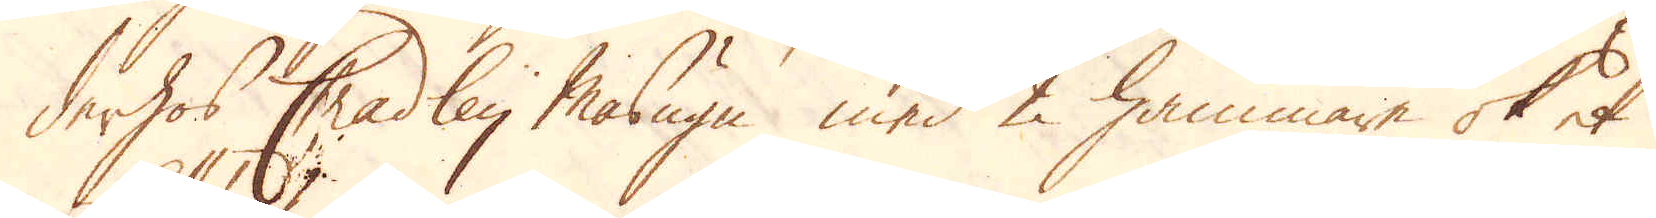derhos Chadley Masugn med 2 hammare ok et
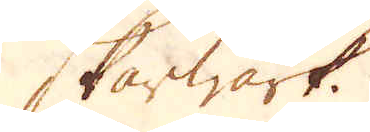Skärwärk.
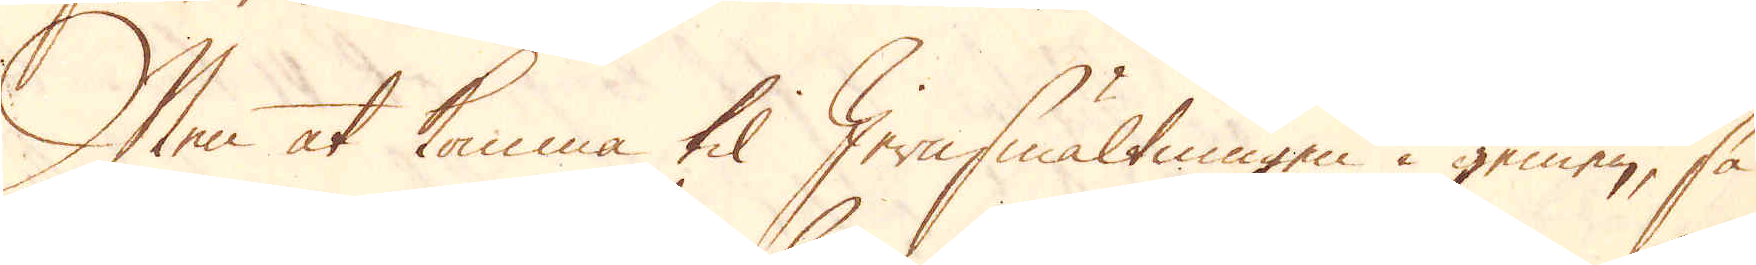Men at komma til Jernsmältningen i gemen, så
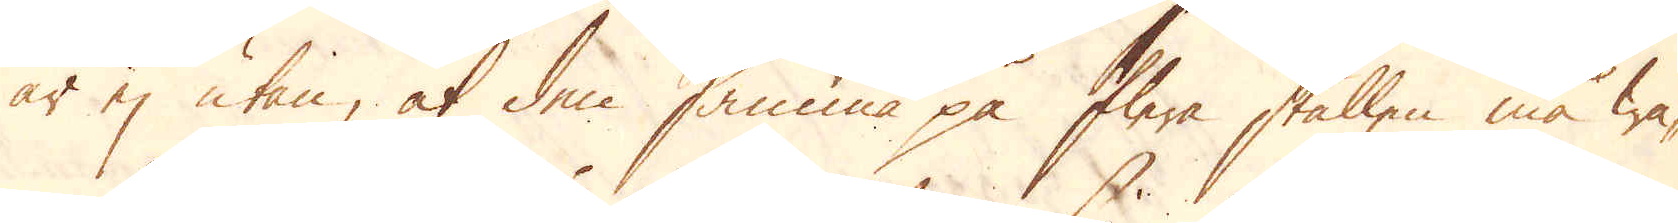är ej utan, at den samma på flere ställen må wa-
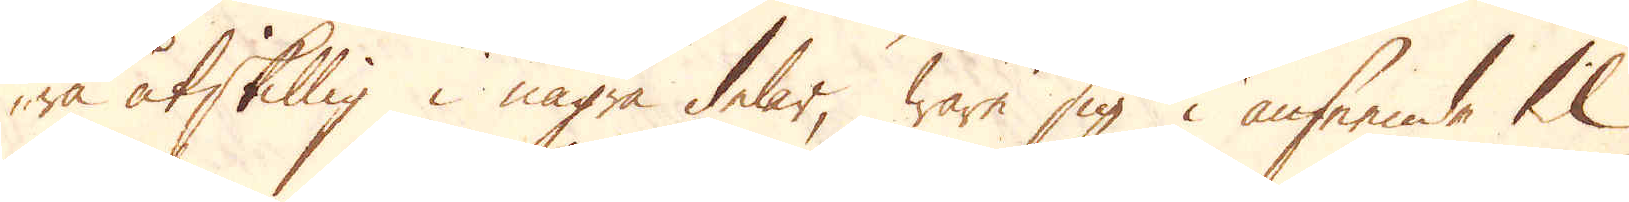ra åtskillig i några delar, ware sig i anseende til
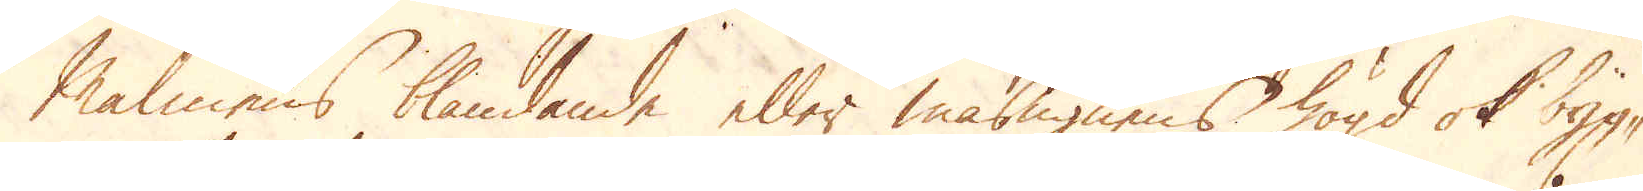Malmens blandande eller masugnens högd ok byg-
